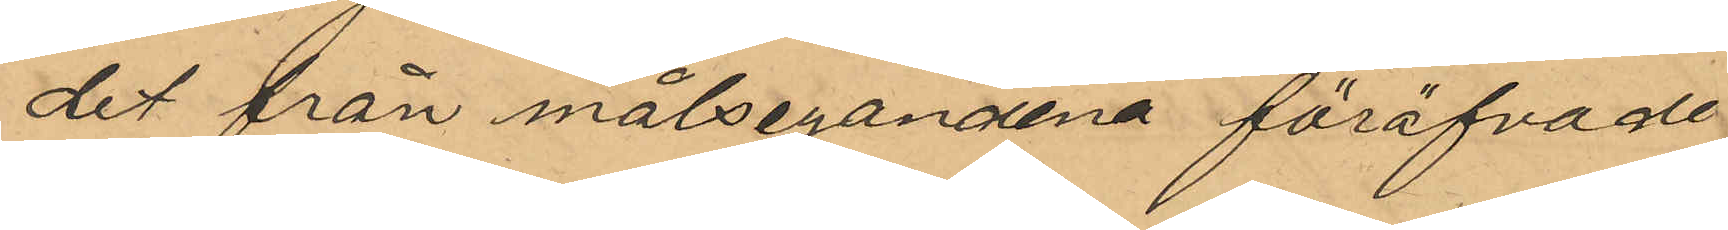det från målseganderna föröfvade
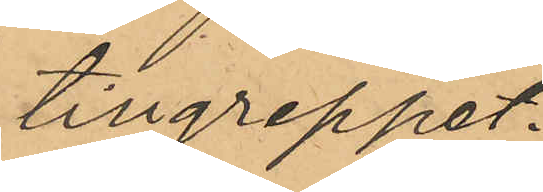tillgreppet.
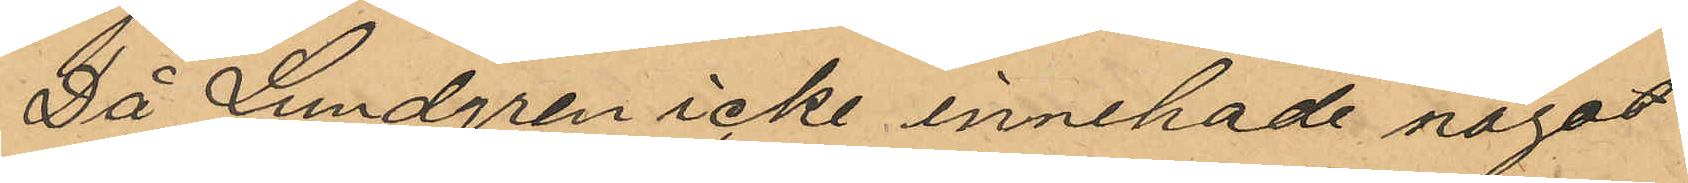Då Lundgren icke innehade något
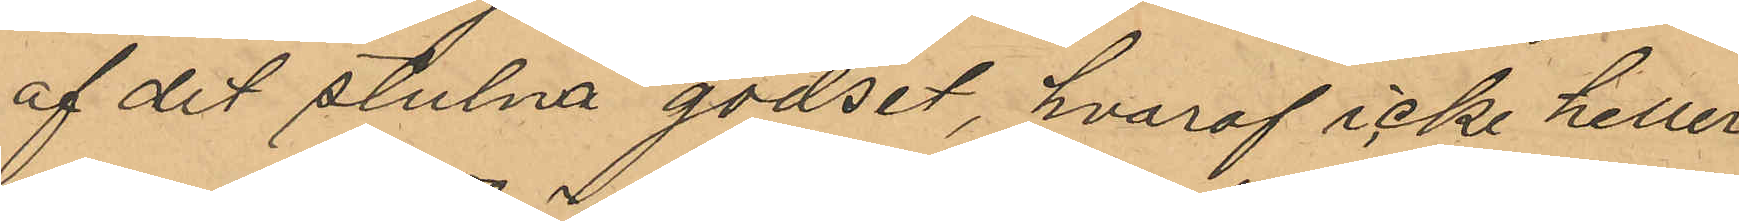af det stulna godset, hvaraf icke heller
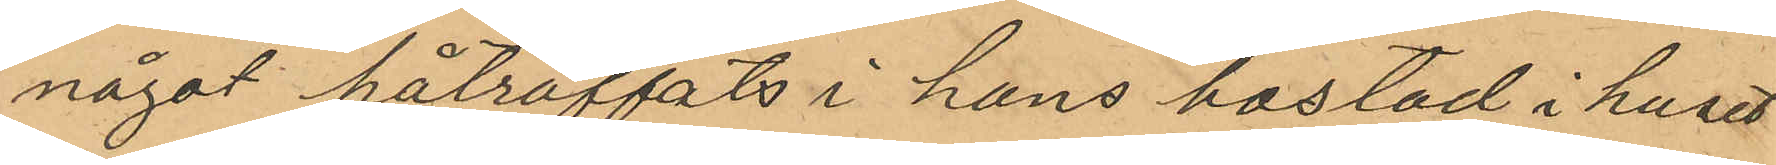något påträffats i hans bostad i huset
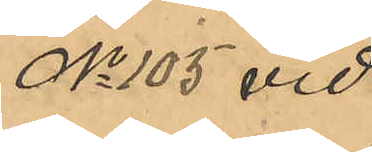No 105 vid
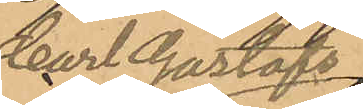Carl Gustafs
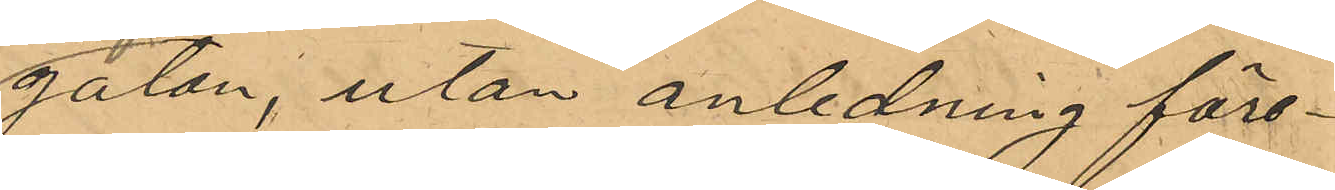gatan, utan anledning före¬
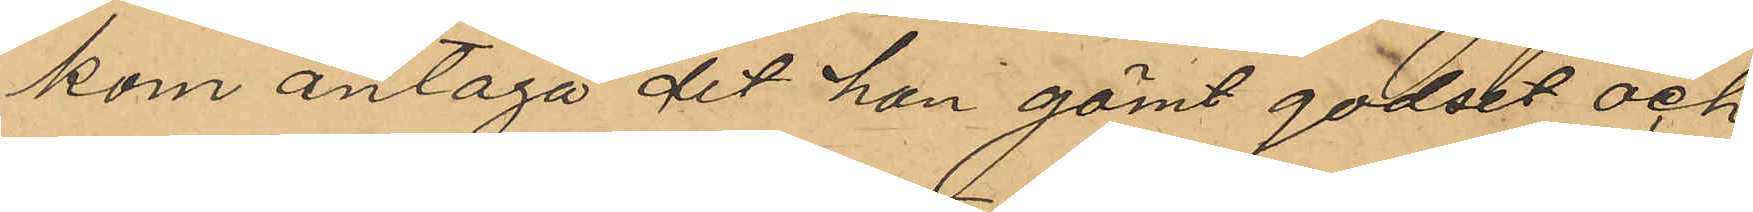kom antaga det han gömt godset och
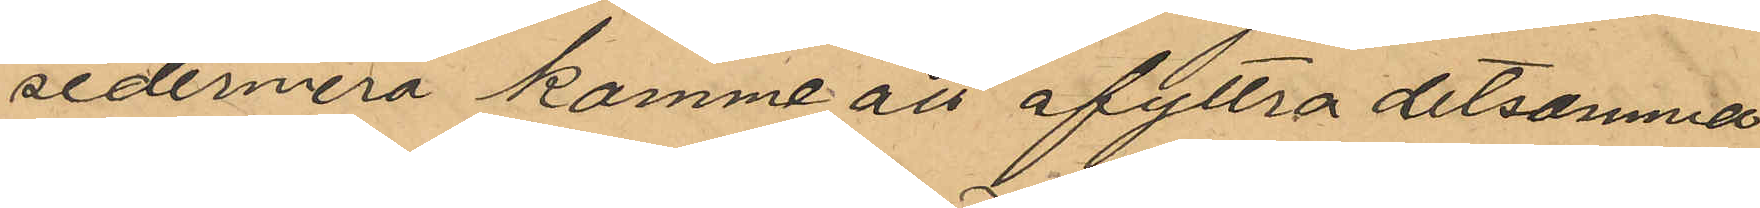sedermera komme att afyttra detsamma
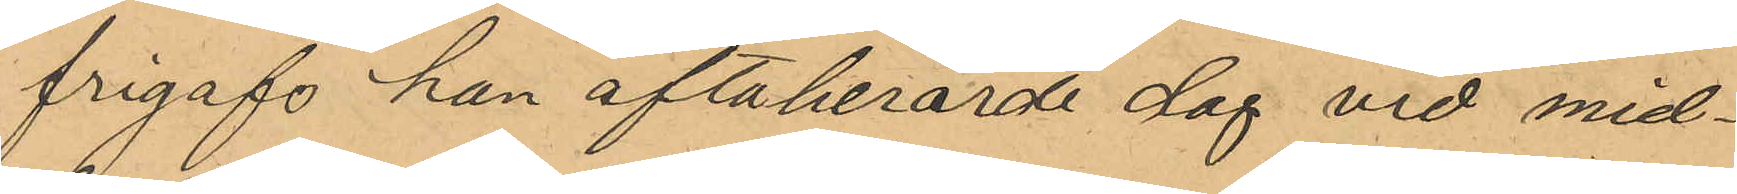frigafs han oftaberörde dag vid mid¬
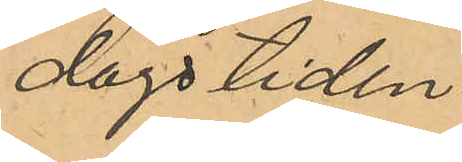dagstiden.
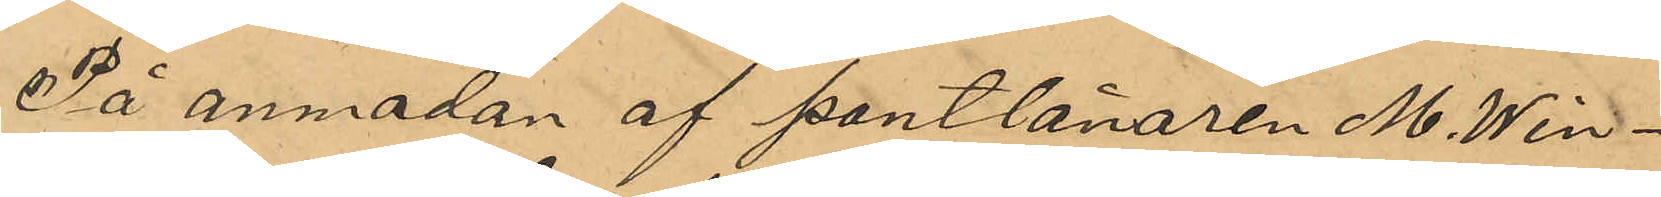På anmodan af pantlånaren M. Win¬
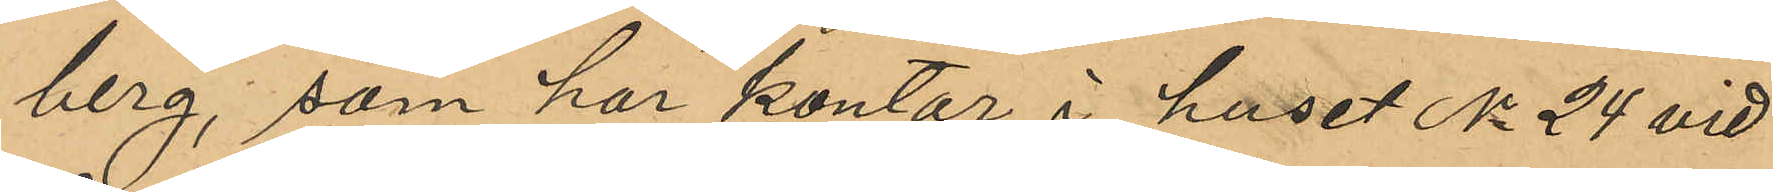berg, som har kontor i huset No 24 vid
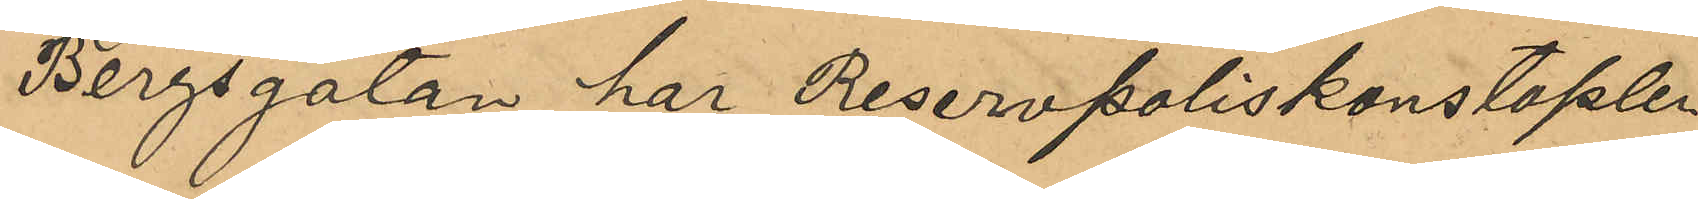Bergsgatan har Reservpoliskonstaplen
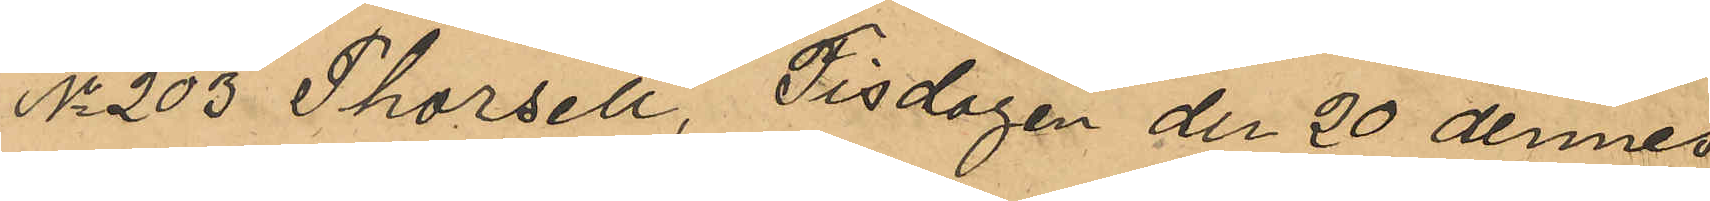No 203 Thorsell, Tisdagen den 20 dennes
